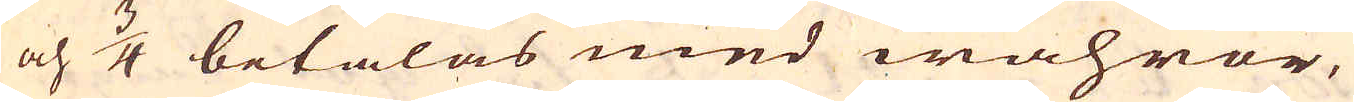och 3/4 betalas med wahror,
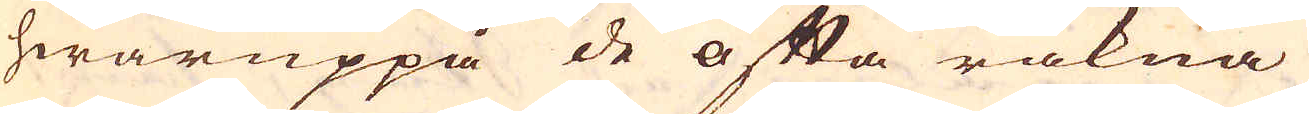hwaruppå de ofta räkna
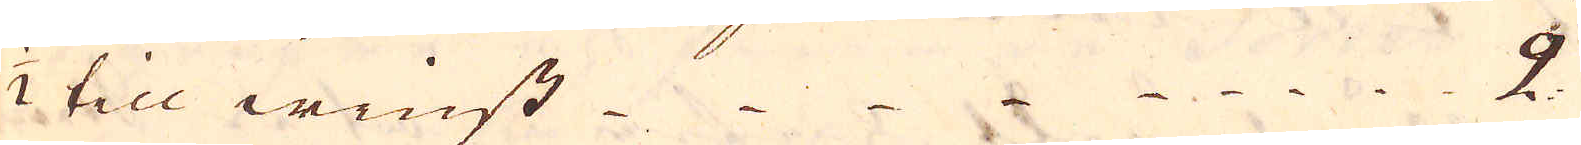1/2 till winst 2.
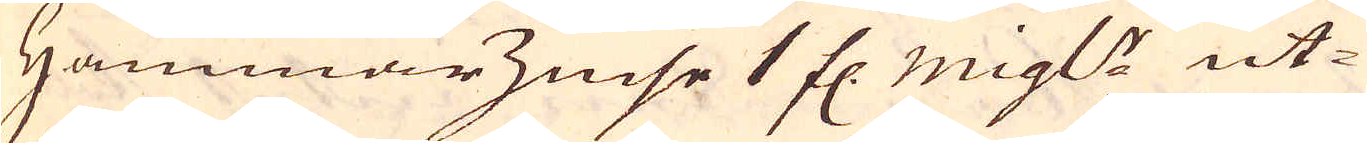Hammarzinse 1 fl. migl: ut-
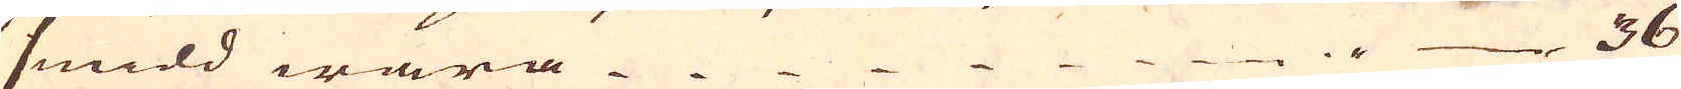smidd wara i 36
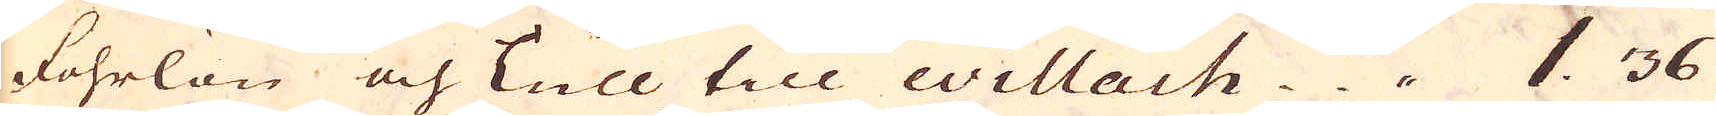fohrlön och Tull till Willach. 1. 36
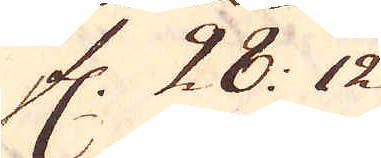fl. 28: 12
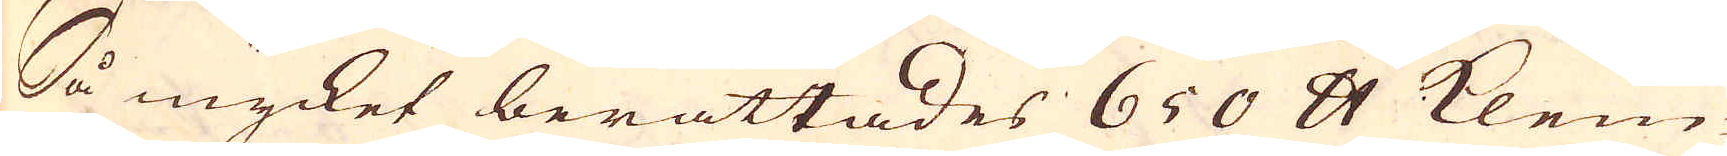Så mycket berättades 650 skålpund klein-
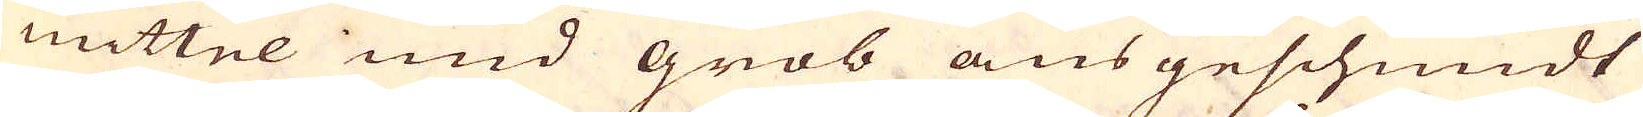mittel und grob aus geschmidt
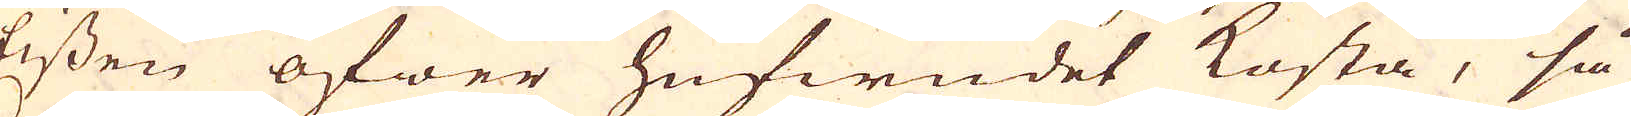Eissen öfwer hufwudet kosta, så
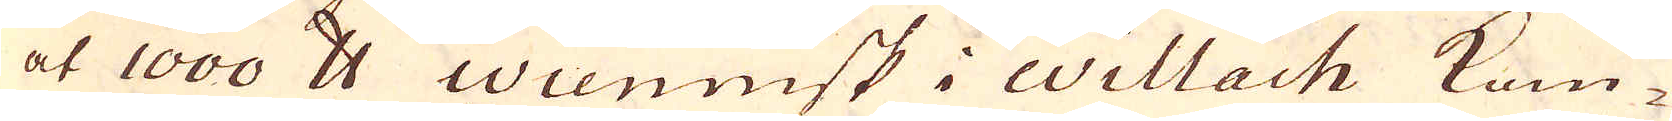at 1000 skålpund Wiennisk i Willach kom-
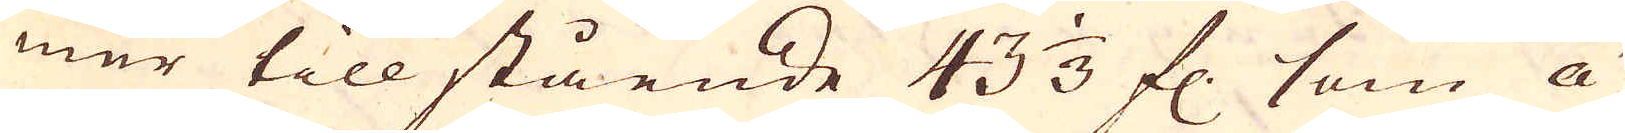mer till stående 43 1/3 fl. som á
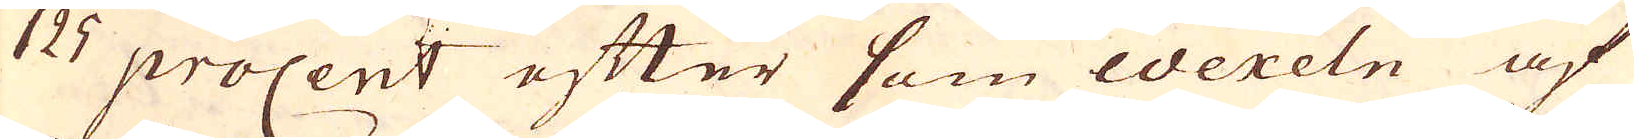125 procent efter som wexeln af
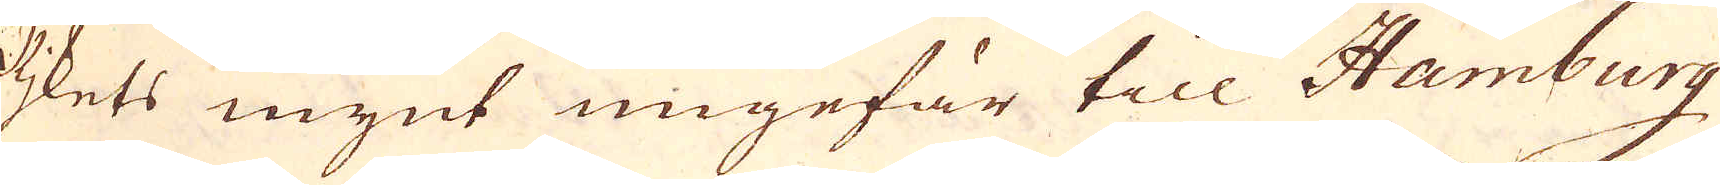Rjkets mynt ungefär till Hamburg
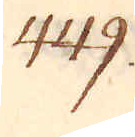449.
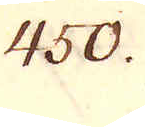450.
